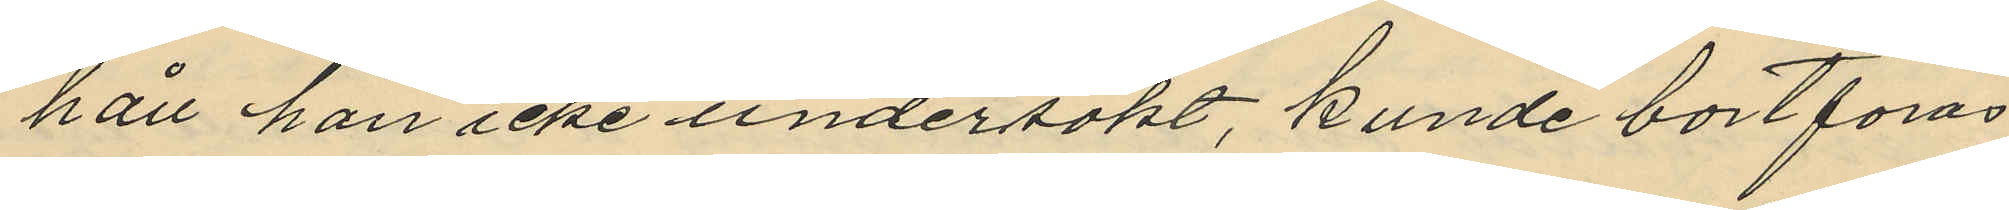håll han icke undersökt, kunde bortföras
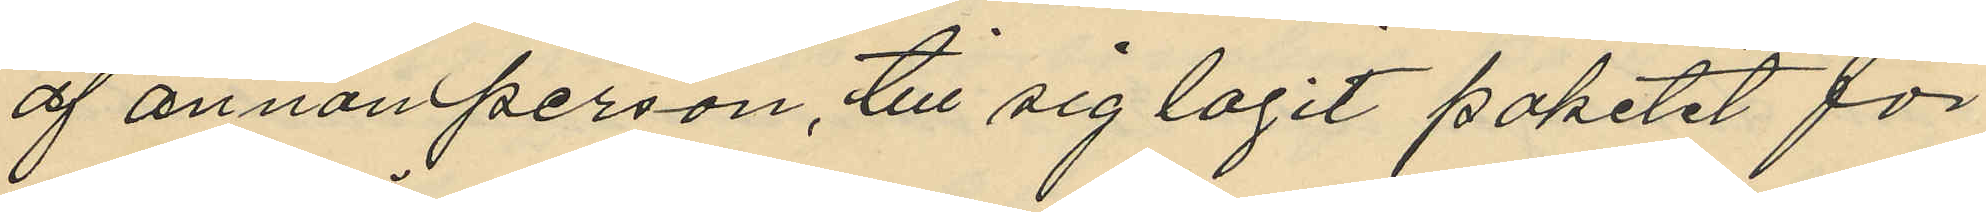af annan person, till sig tagit paketet för
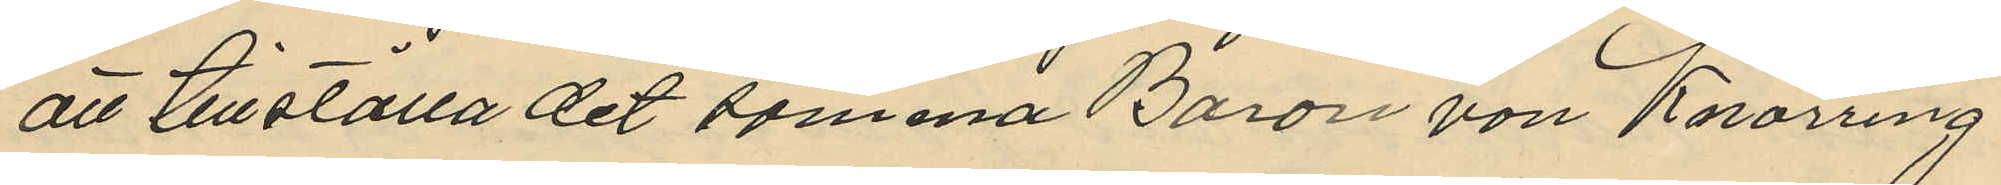att tillställa det samma Baron von Knorring
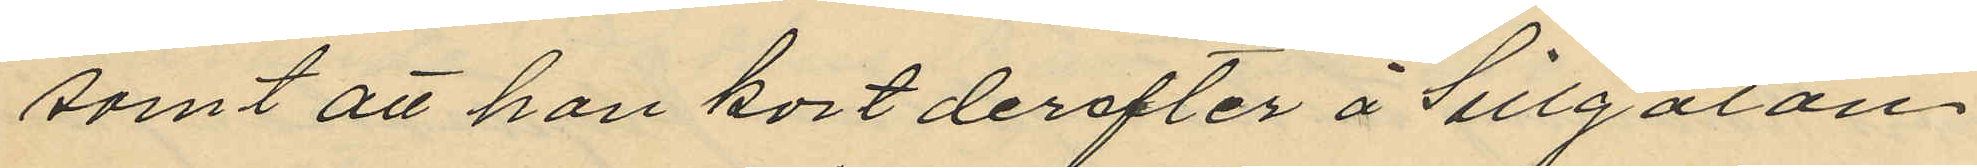samt att han kort derefter å Sillgatan
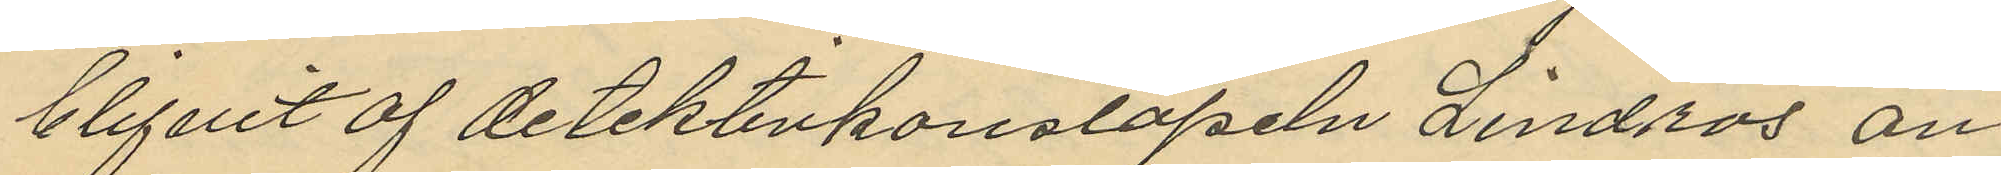blifvit af detektivkonstapeln Lindros an¬
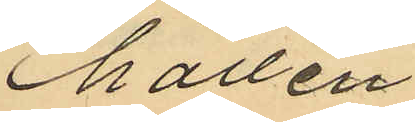hållen
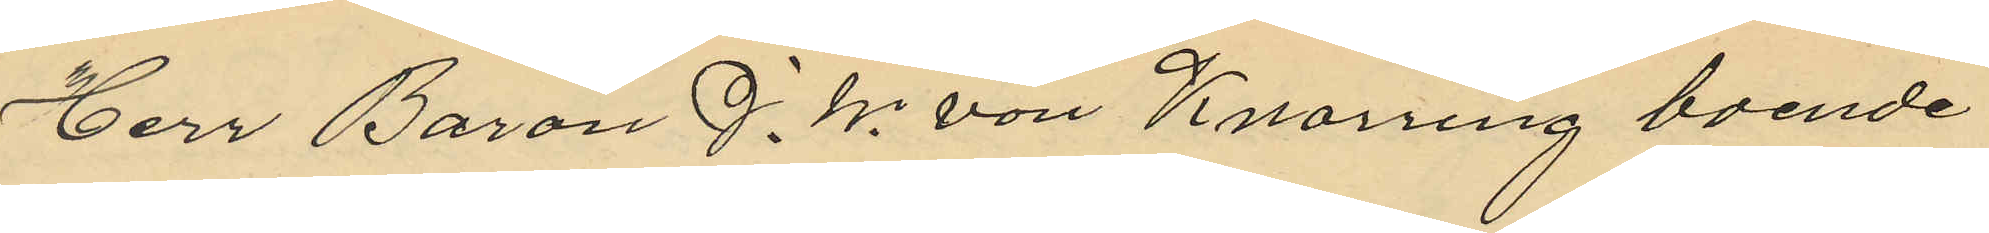Herr Baron J. W. von Knorring boende
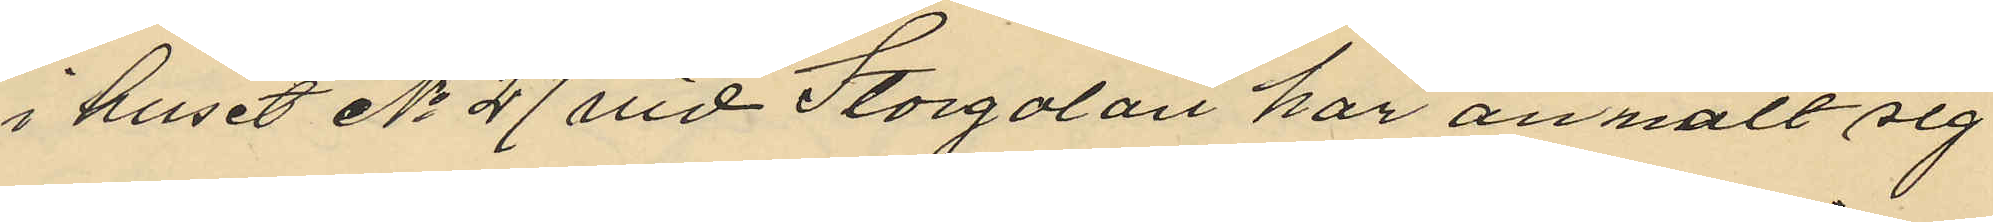i huset No 27 vid Storgatan har anmält sig
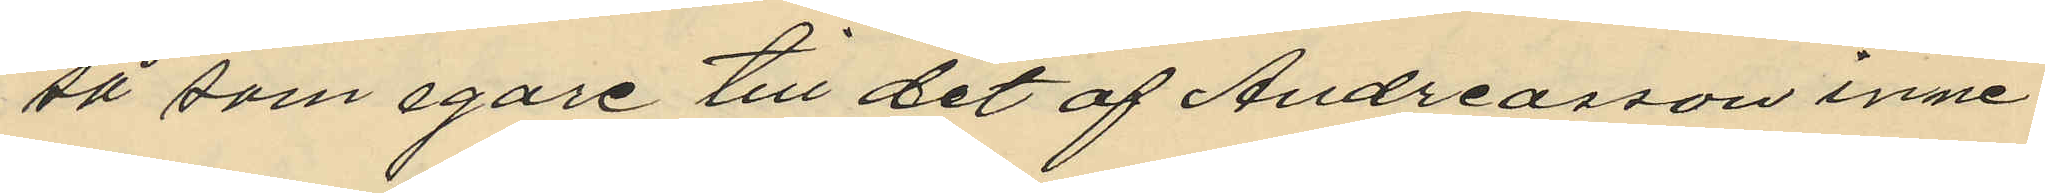så som egare till det af Andreasson inne¬
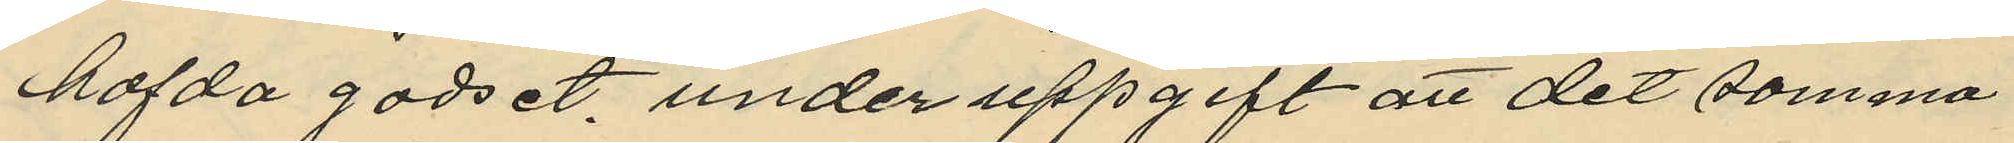hafda godset under uppgift att det samma
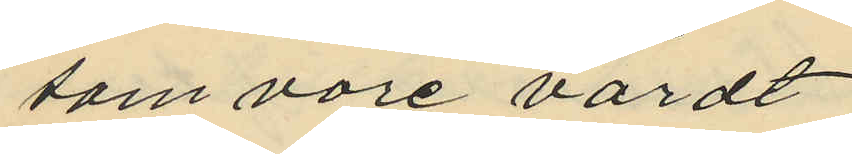som vore värdt
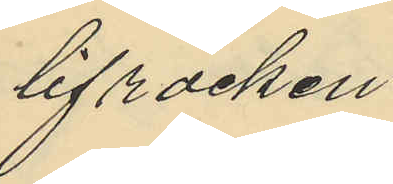lifrocken
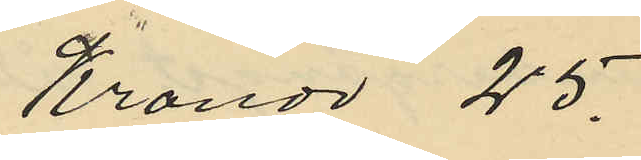Kronor 25.
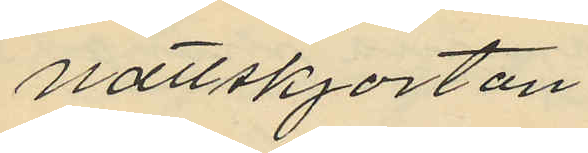nattskjortan 
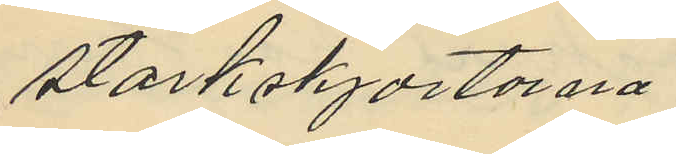stärkskjortorna
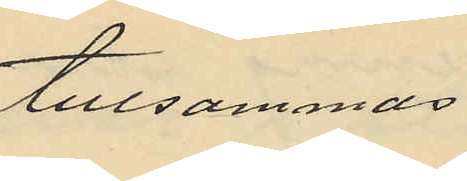tillsammas
